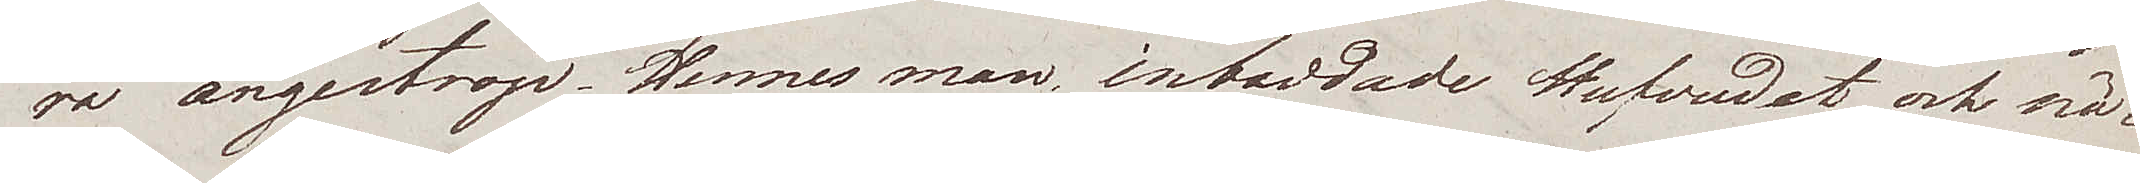ra ångestrop. Hennes man, inbaddade Hufvudet och nä¬
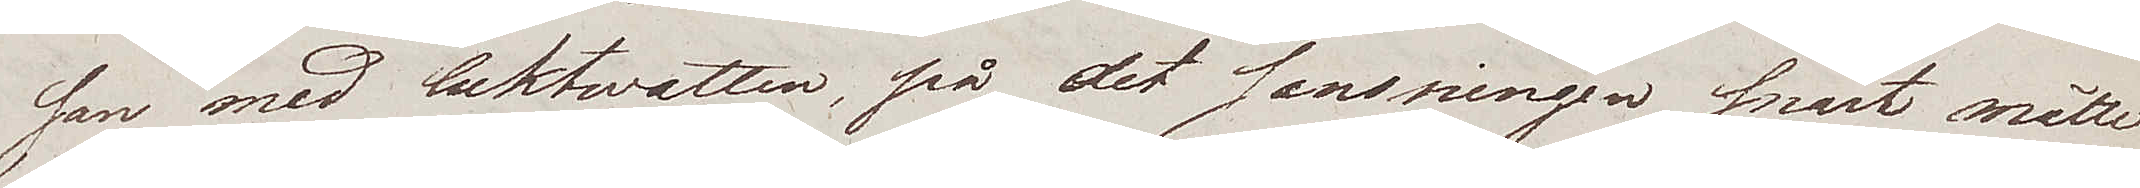san med luktwatten, på det sansningen snart måtte
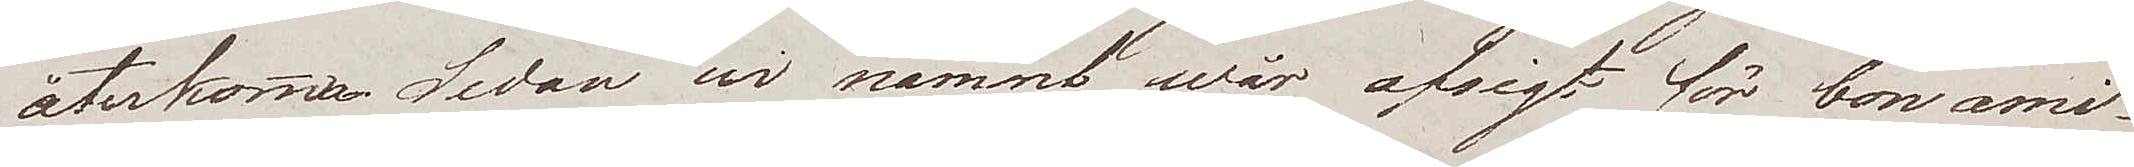återkomma. Sedan wi nämnt wår afsigt för bon ami
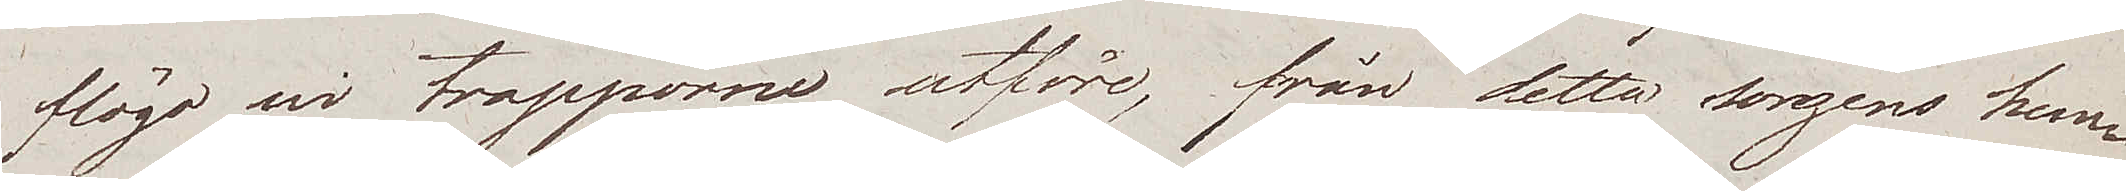flögo wi trapporne utföre, från detta sorgens hem¬
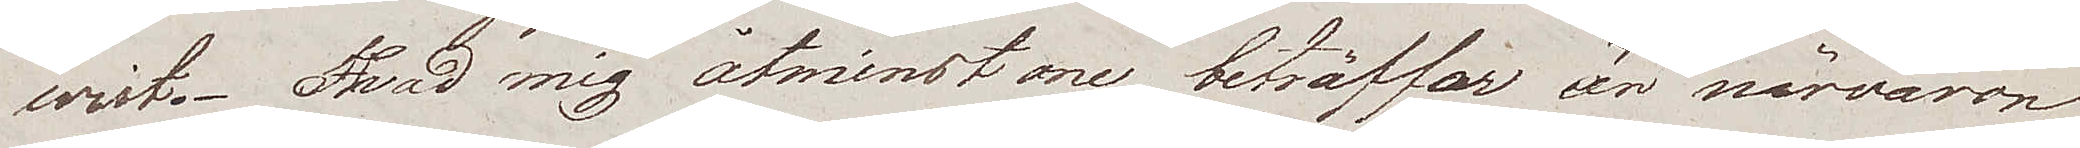wist. Hvad mig åtminstone beträffar är närvaron
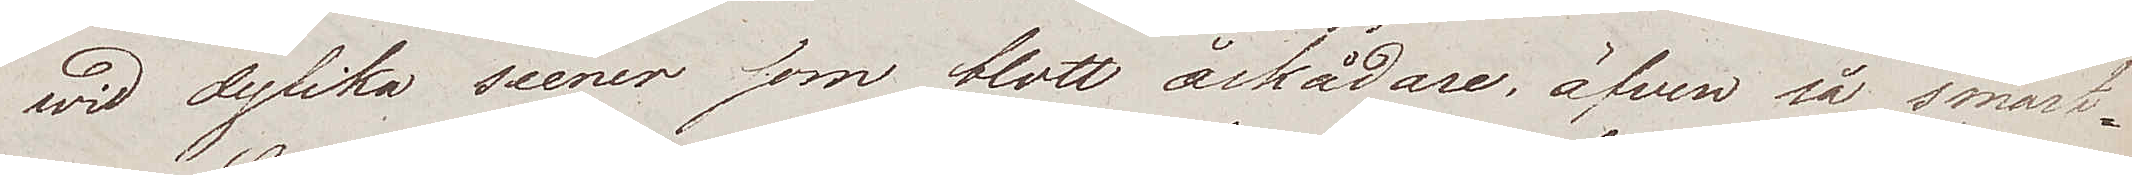wid dylika scener som blott åskådare, äfven så smärt¬
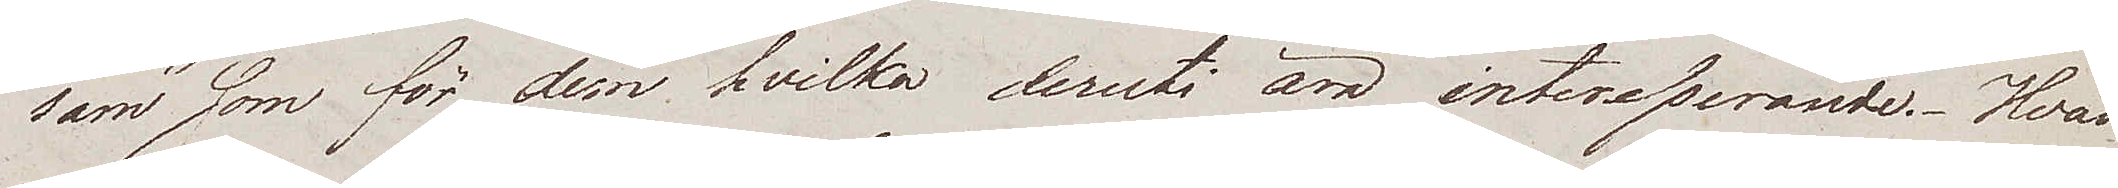sam som för dem hvilka deruti äro interesserande. Hvad
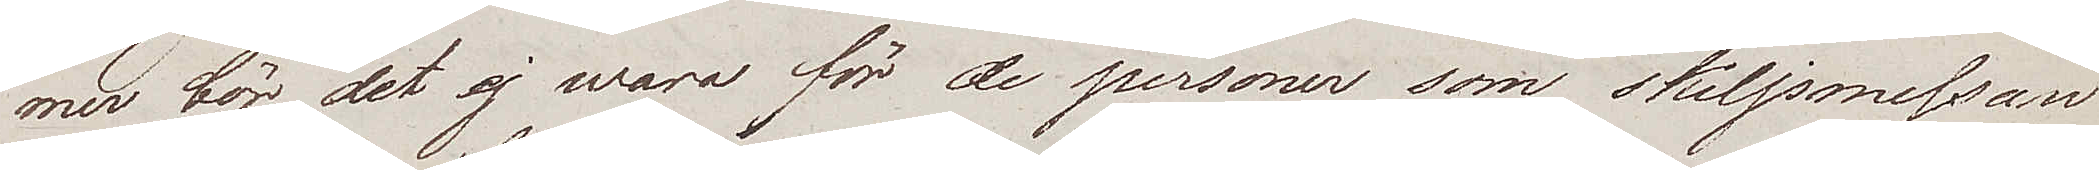mer bör det ej wara för de personer som skiljsmessan
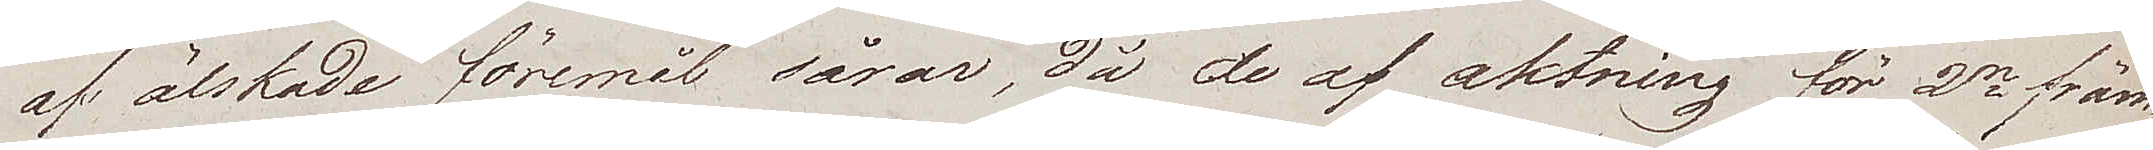af älskade föremål sårar, då de af aktning för 2ne främ¬
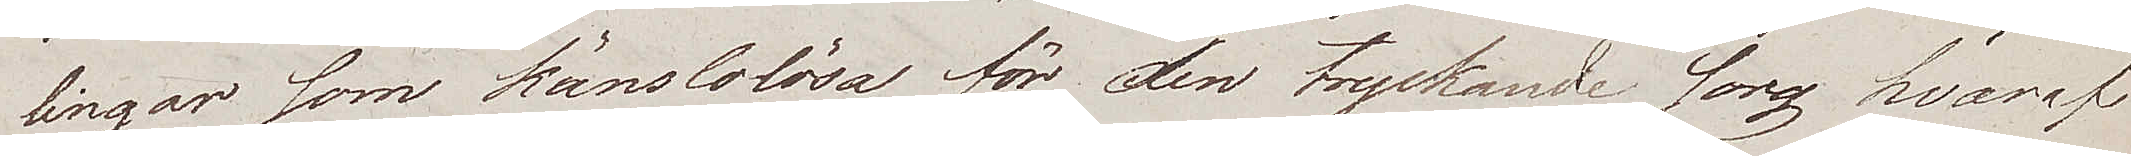lingar som känslolösa för den tryckande sorg hvaraf
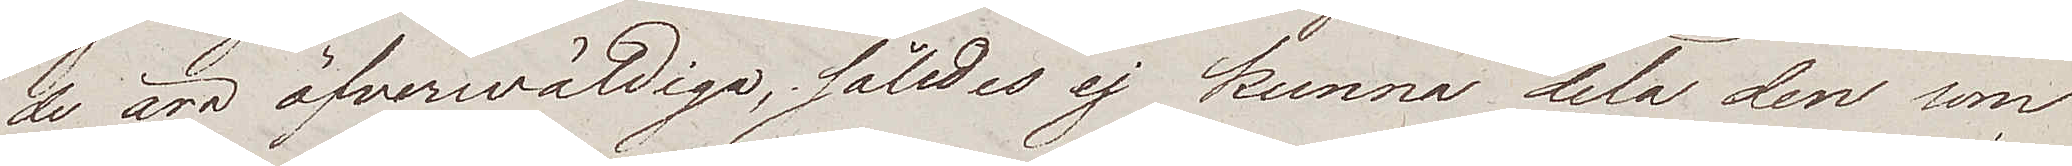de äro öfverwäldiga, således ej kunna dela den som
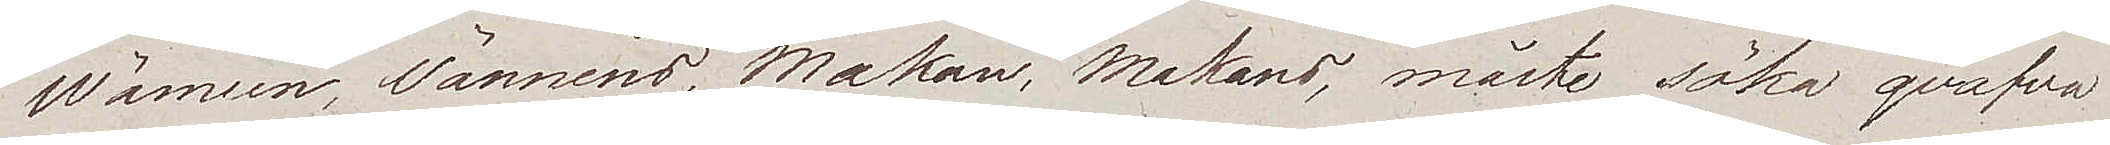Wännen, Vännens, Makan, Makans, måste söka qväfva
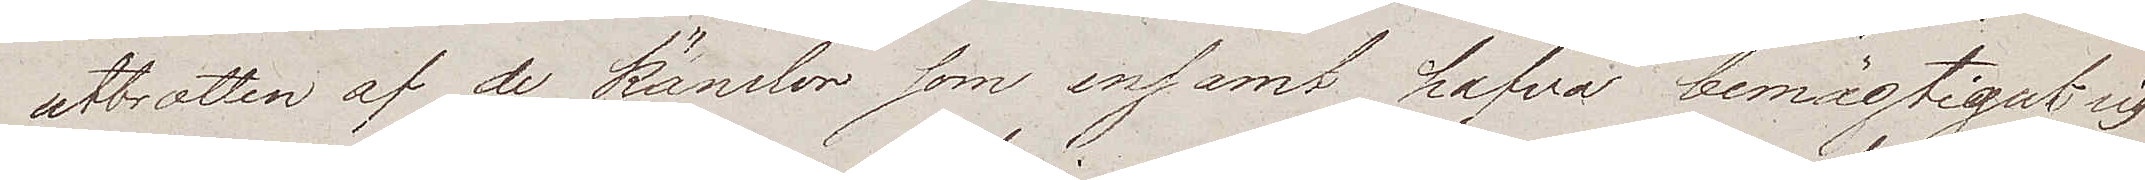utbrotten af de känslor som ensamt hafva bemägtigat sig
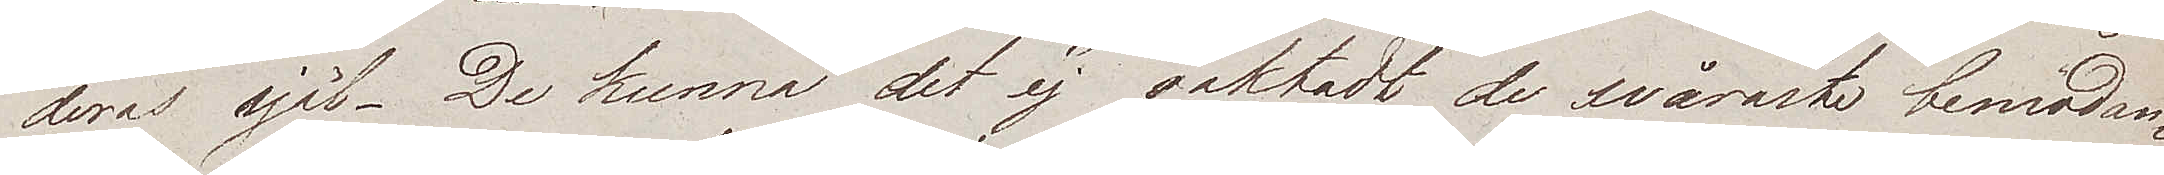deras själ. De kunna det ej oaktadt de svåraste bemödan¬
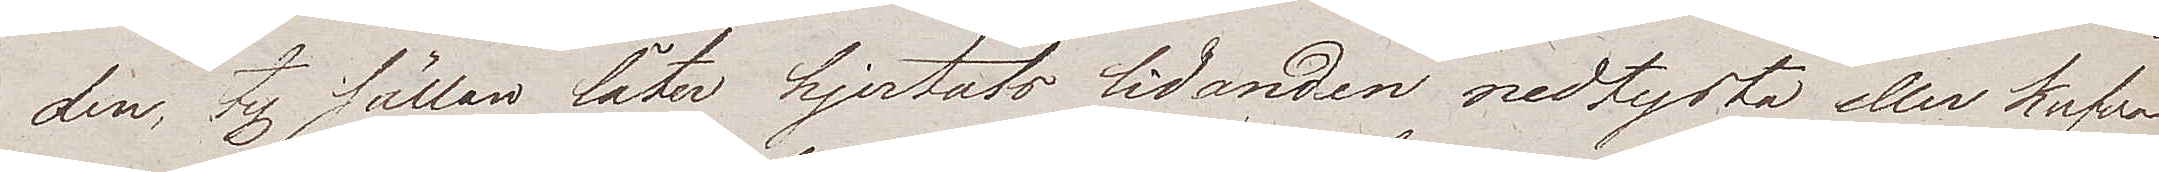den, ty sällan låter hjertats lidanden nedtysta eller kufva
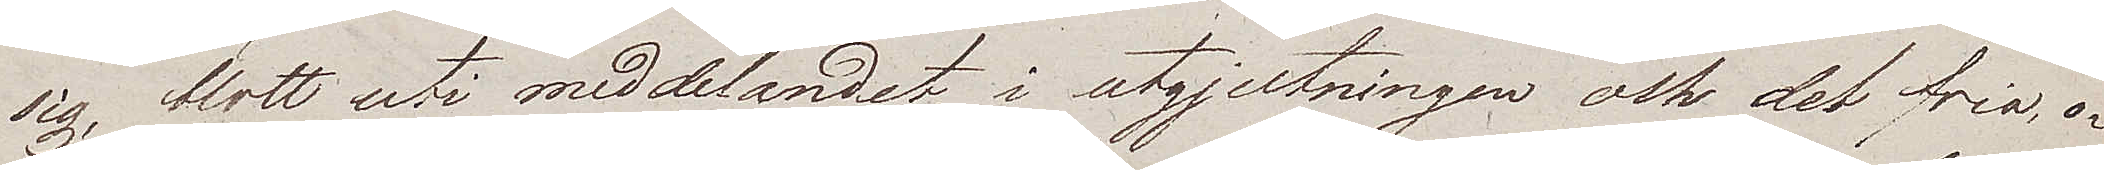sig, blott uti meddelandet, i utgjutningen och det fria, o¬
